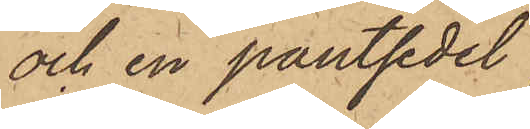och en pantsedel;
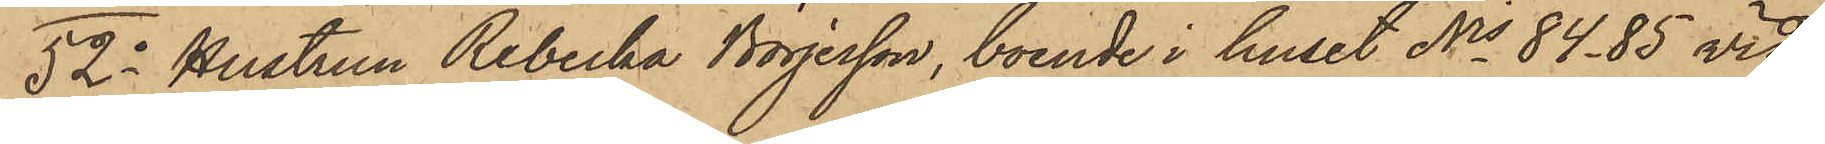52o Hustrun Rebecka Börjesson, boende i huset Nis 84 - 85 vid
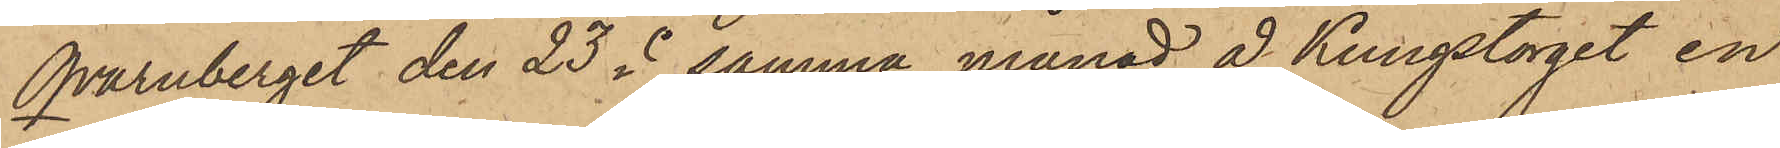Qvarnberget den 23 i samma månad å Kungstorget en
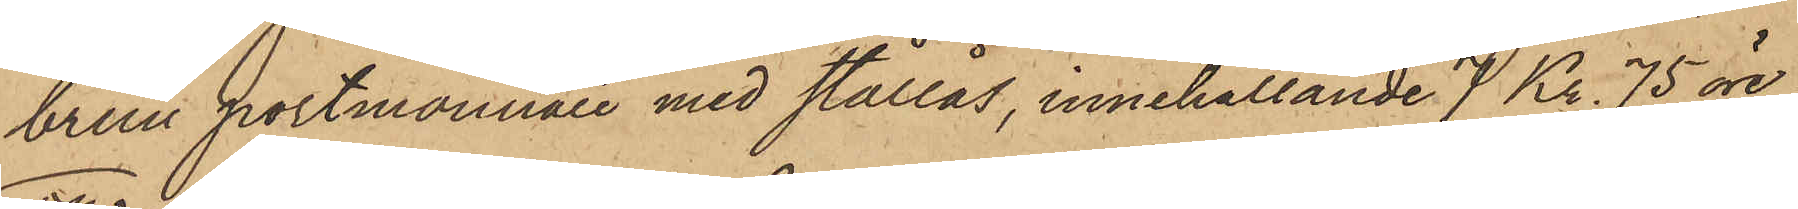brun portmonnaie med stållås, innehållande 7 Kr. 75 öre;
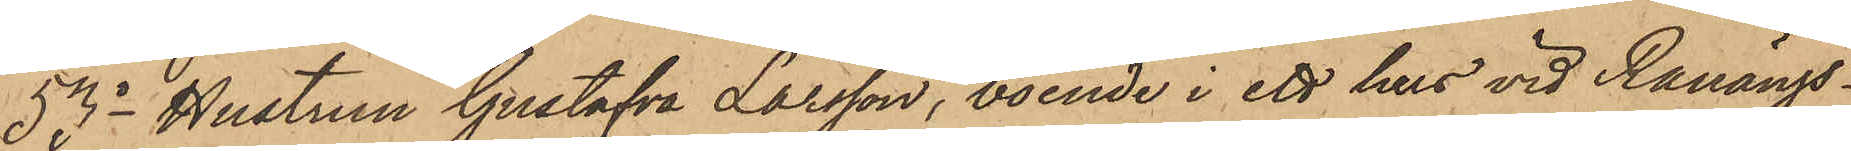53o Hustrun Gustafva Larsson, boende i ett hus vid Ranängs¬
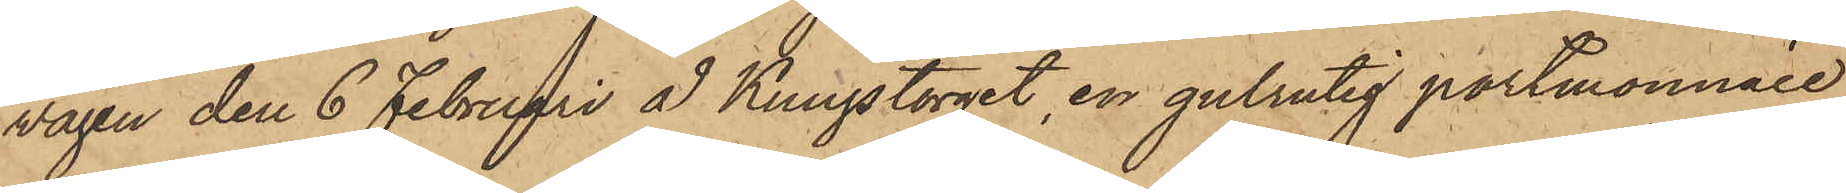vägen den 6 Februari å Kungstorget, en gulrutig portmonnaie,
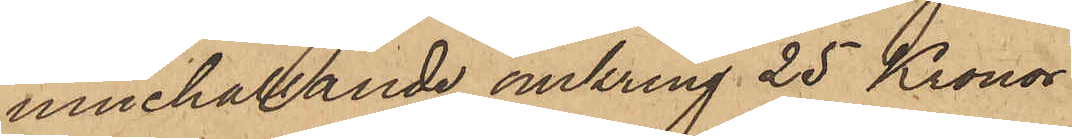innehållande omkring 25 Kronor
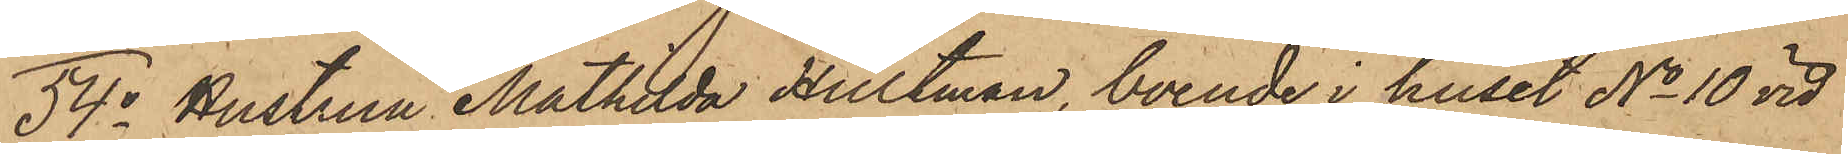54o Hustrun Mathilda Hultman, boende i huset No 10 vid
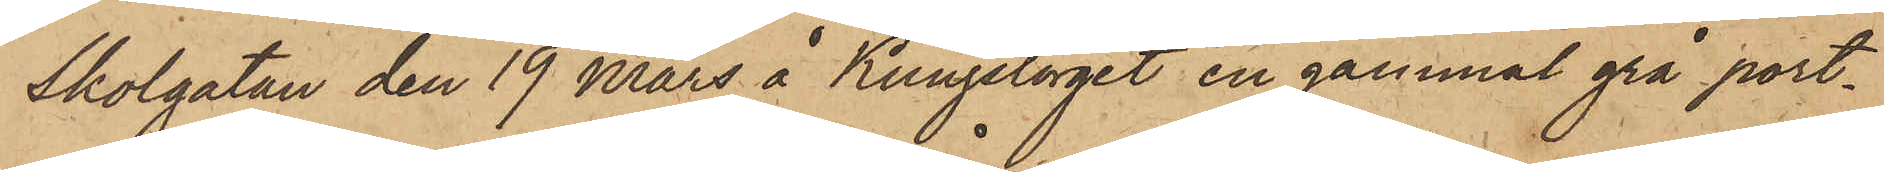Skolgatan den 19 Mars å Kungstorget en gammal grå port¬
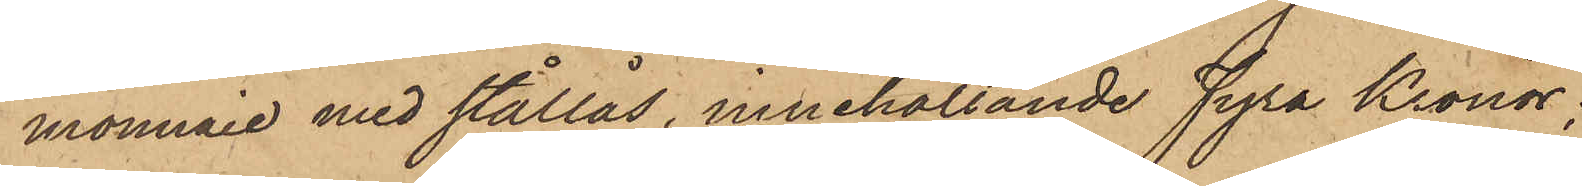monnaie med stållås, innehållande Fyra Kronor;
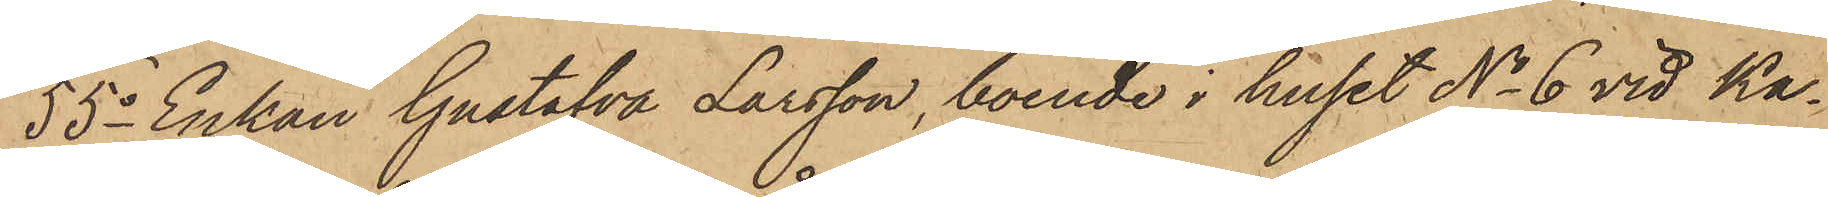55o Enkan Gustafva Larsson, boende i huset No 6 vid Ka¬
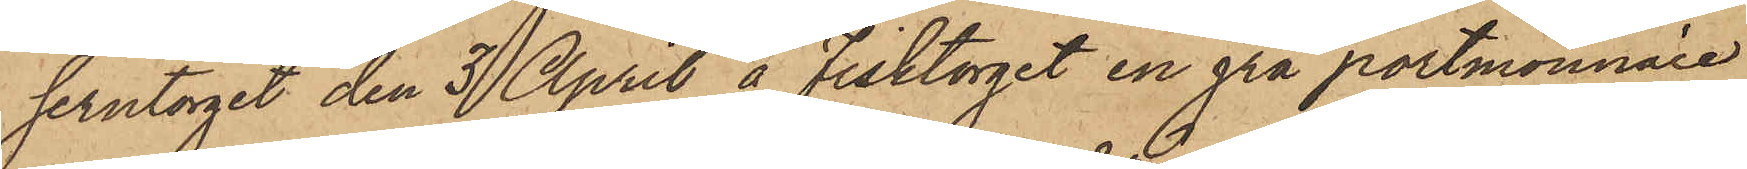serntorget den 3 April å Fisktorget en grå portmonnaie
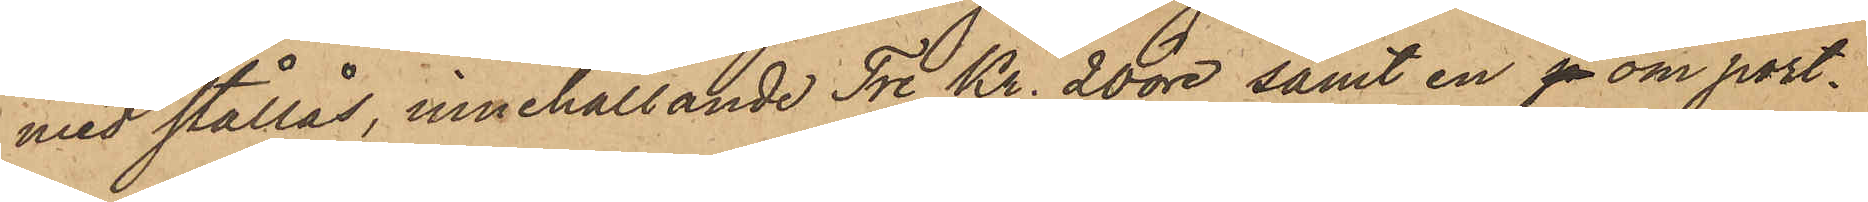med stållås, innehållande Tre Kr. 20 öre, samt en p om port¬
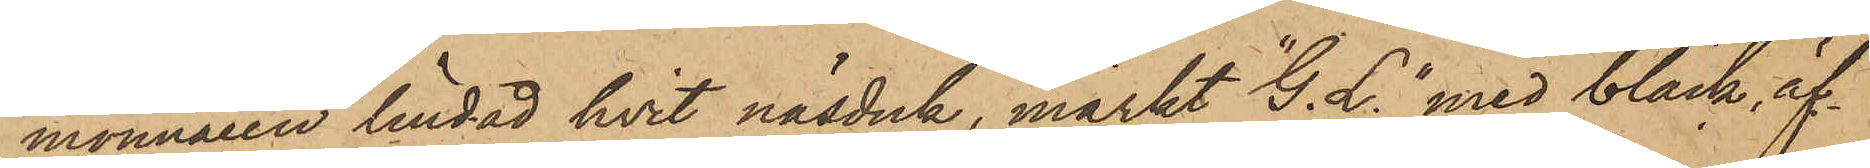monnaien lindad hvit näsduk, märkt "G. L." med bläck, äf¬
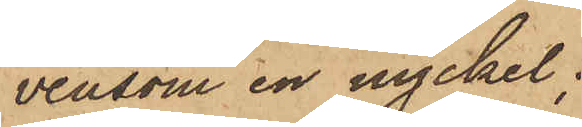vensom en nyckel;
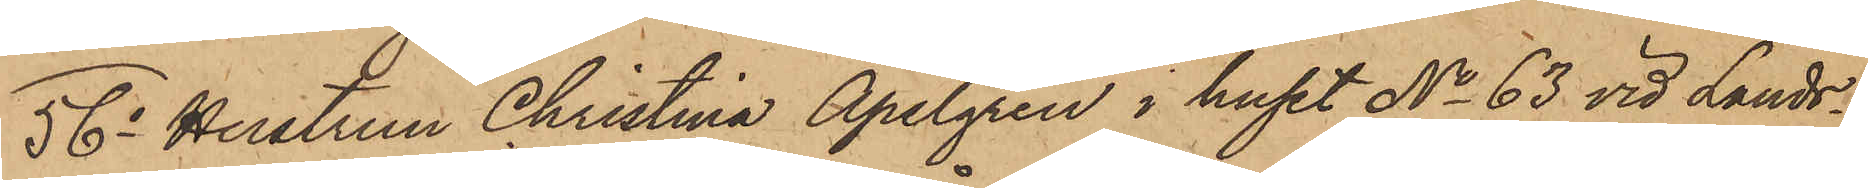56o Hustrun Christina Apelgren i huset No 63 vid Lands¬
